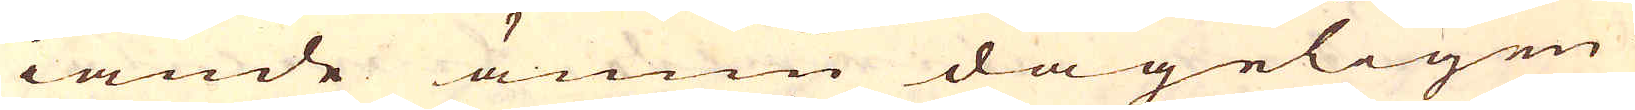iande ännu dageligen
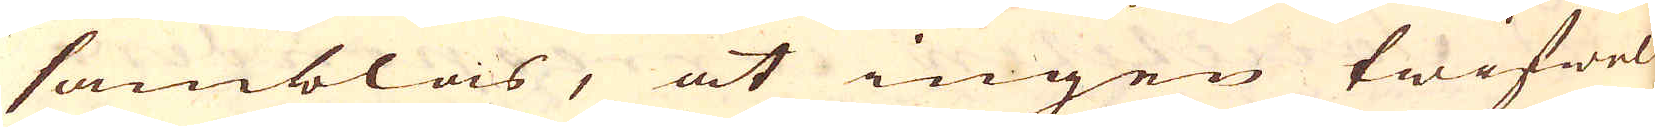samblas, at ingen twifwel
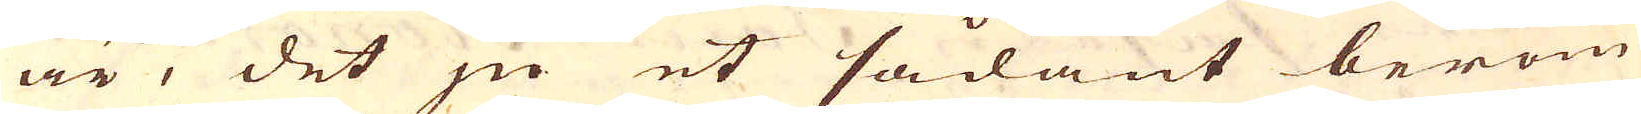är, det ju et sådant beröm-
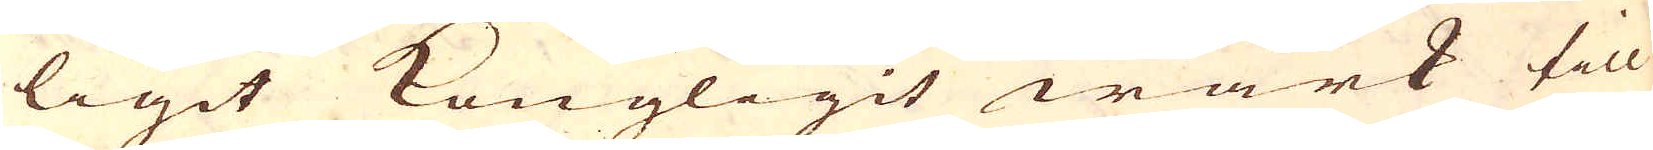ligit Kongligit wärk till
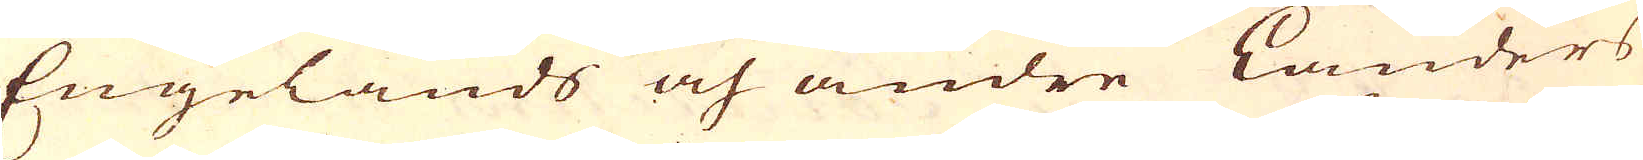Engelands och andre länders
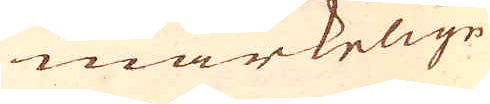märkelige
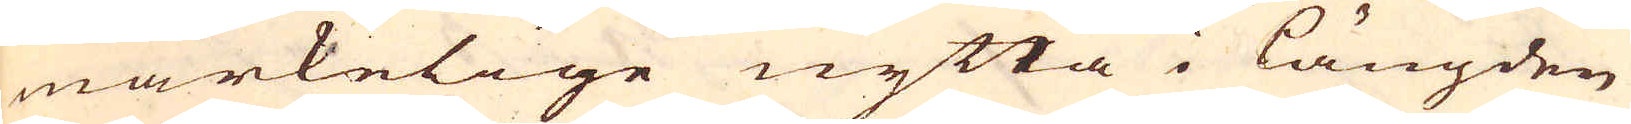märkelige nytta i längden
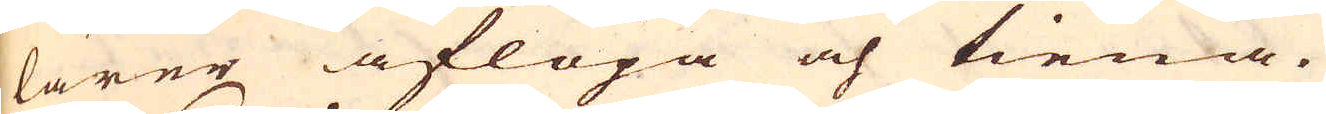lärer aflöpa och tiena.
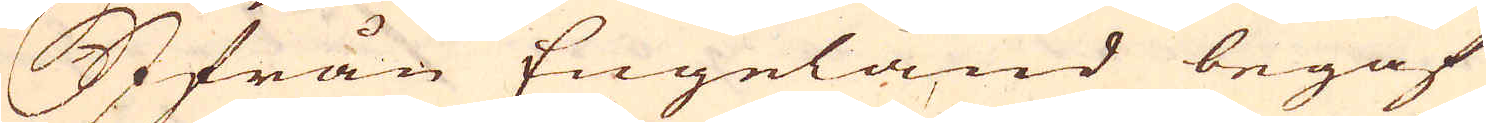Ifrån Engeland begaf
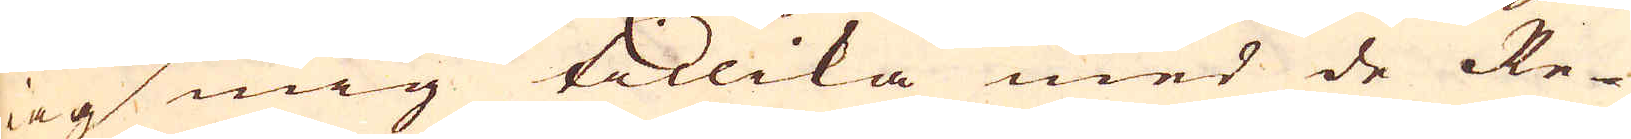iag mig tillika med de Re-
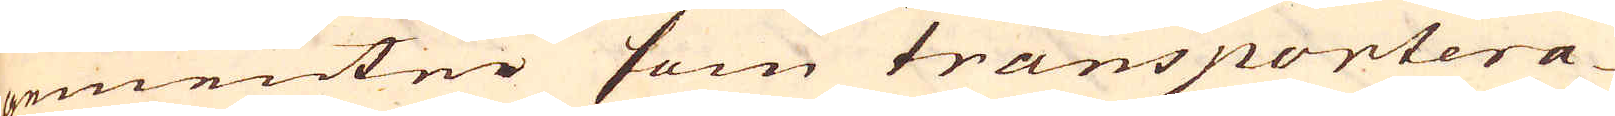gementer som transportera-
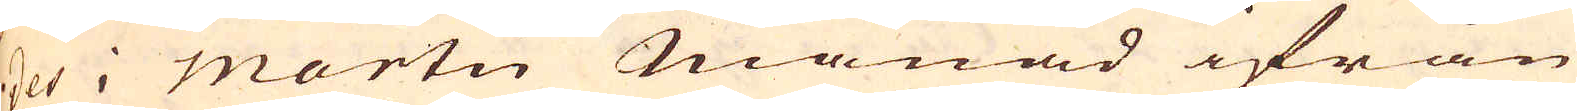des i Martii Månad ifrån
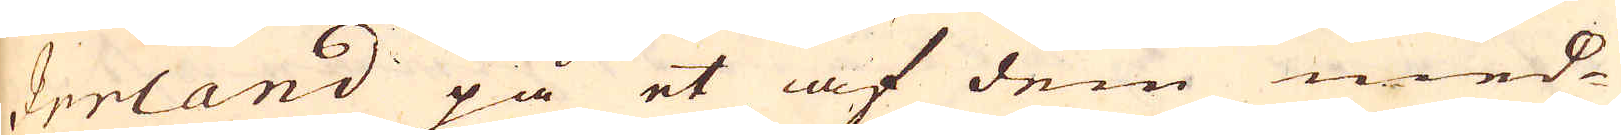Irrland på et af dem med-
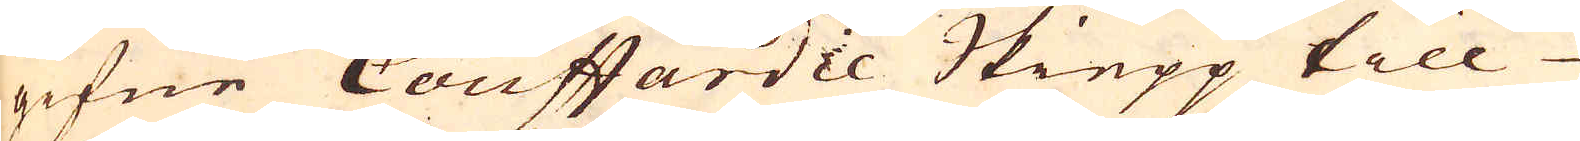gifne Couffardie Skiepp till
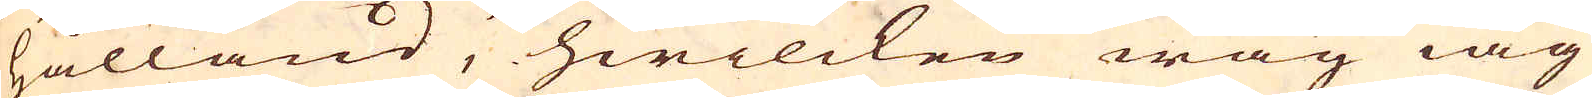Hålland, hwilcken wäg iag
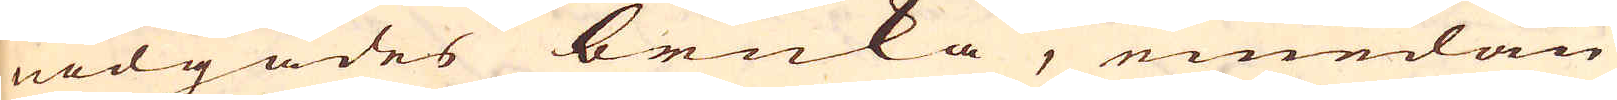nödgades bruka, emedan
